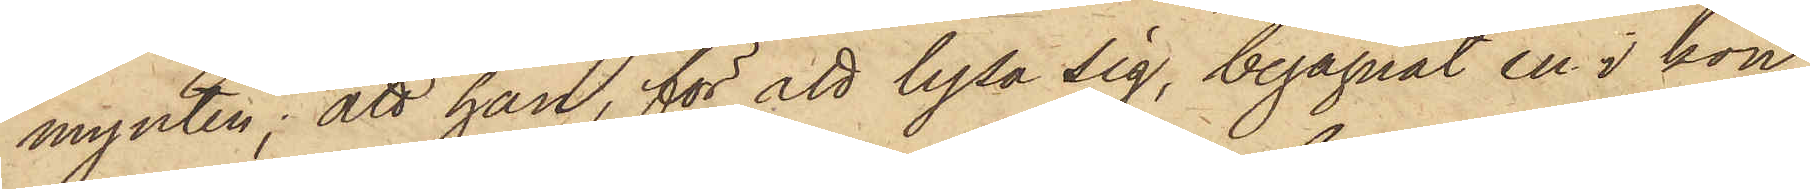mynten; att han, för att lysa sig, begagnat en i kon¬
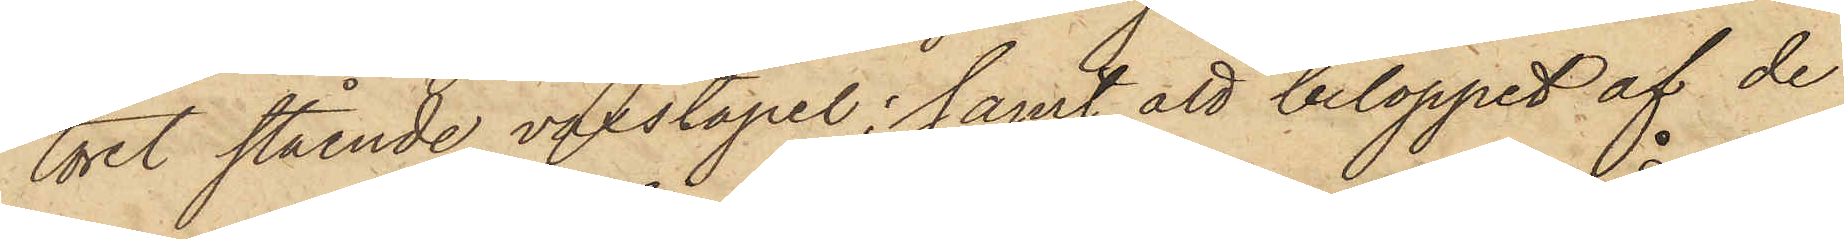toret stående vaxstapel; samt att beloppet af de
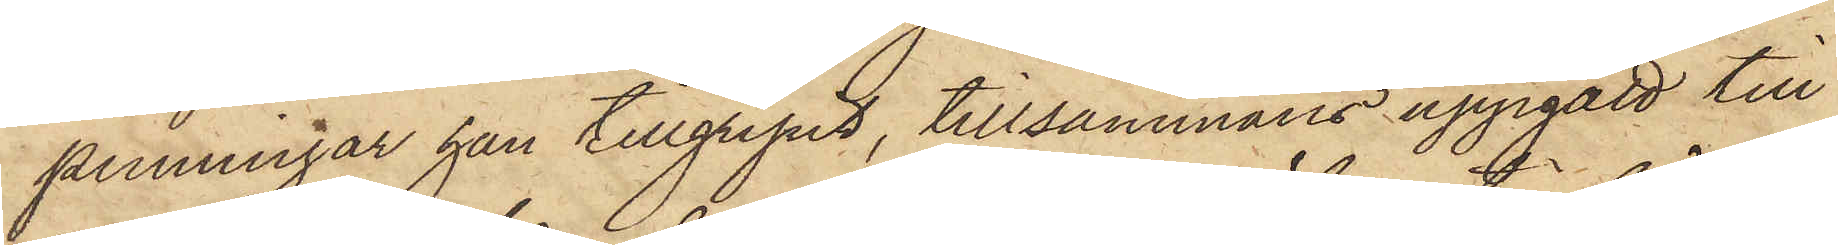penningar han tillgripit, tillsammans uppgått till
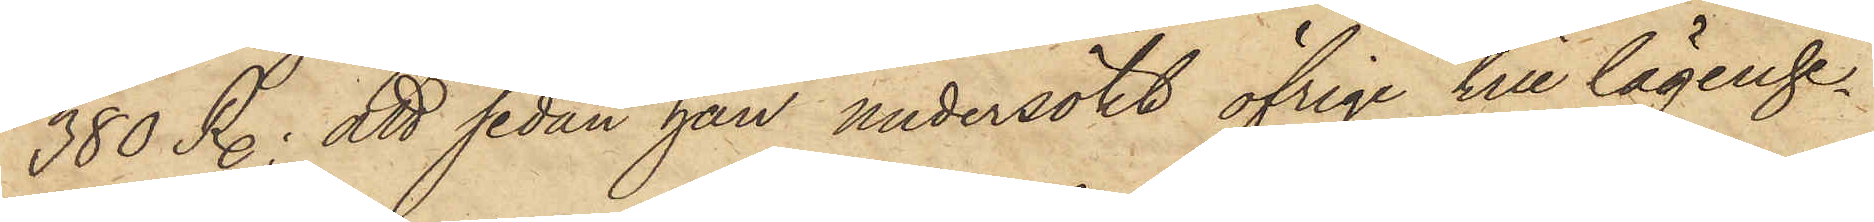380 R.; att sedan han undersökt öfrige till lägenhe¬
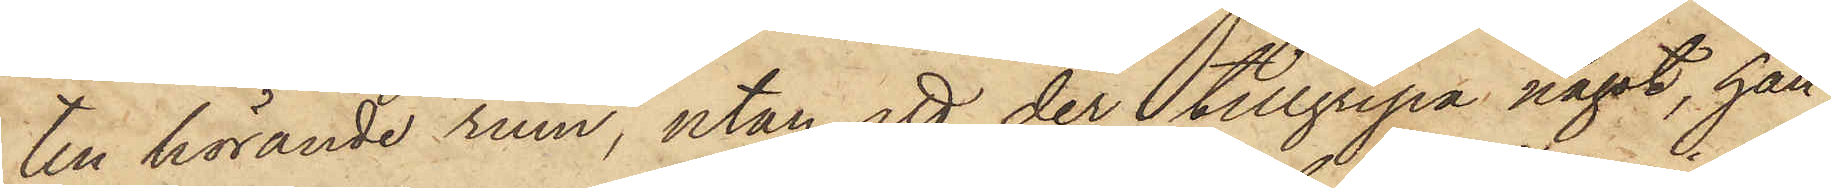ten hörande rum, utan att der tillgripa något, han
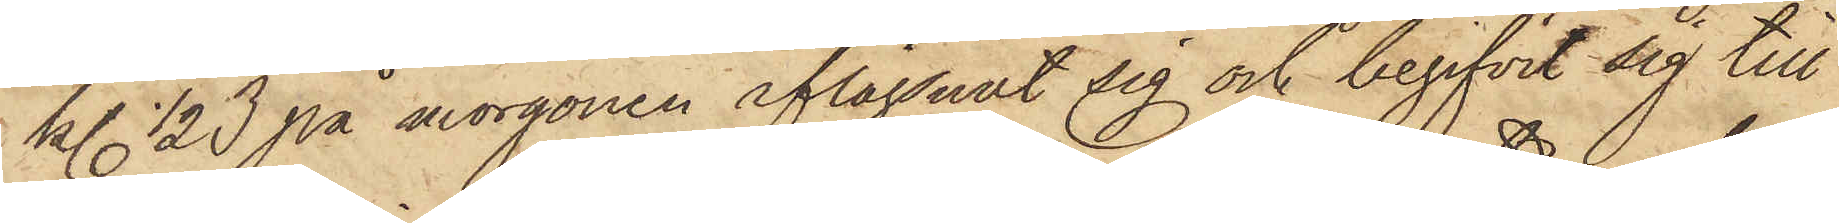kl. 1/2 3 på morgonen aflägsnat sig och begifvit sig till
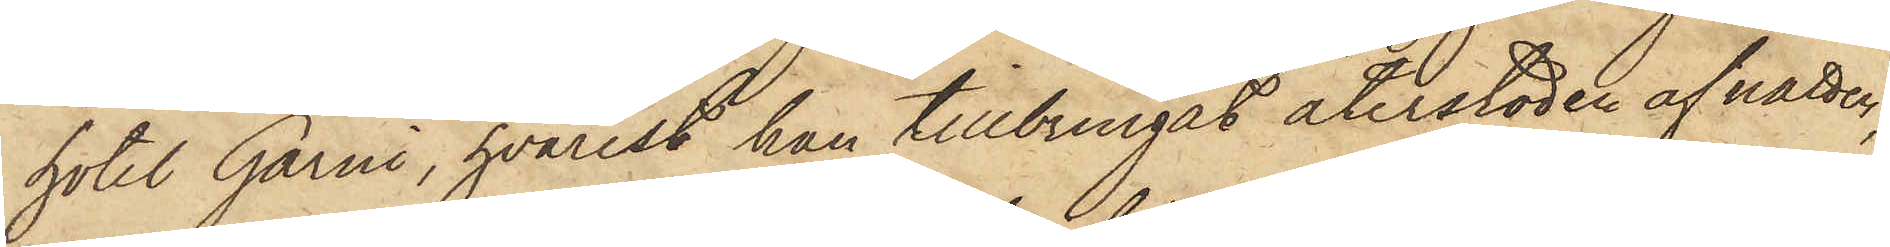hotel Garni, hvarest han tillbringat återstoden af natten,
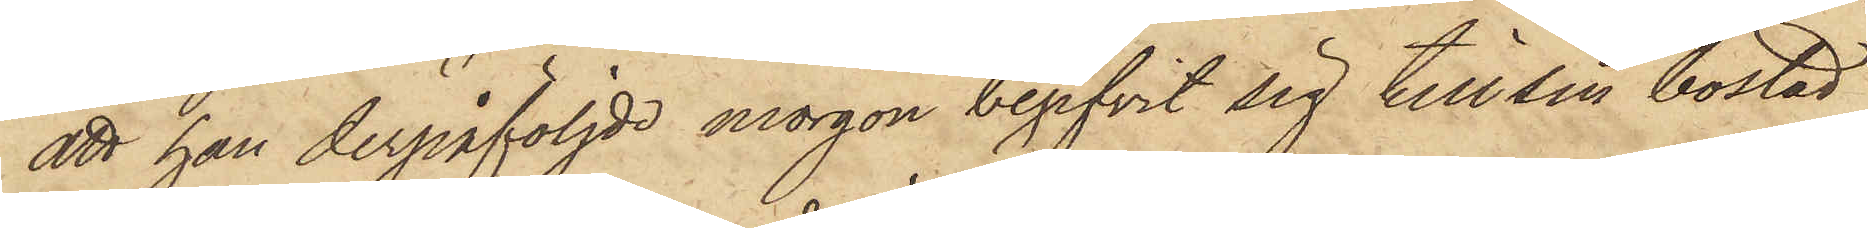att han derpåföljde morgon begifvit sig till sin bostad
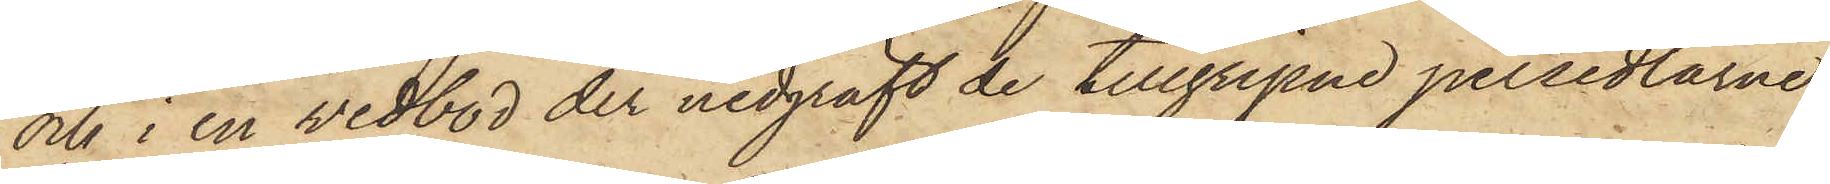och i en vedbod der nedgräft de tillgripne persedlarne
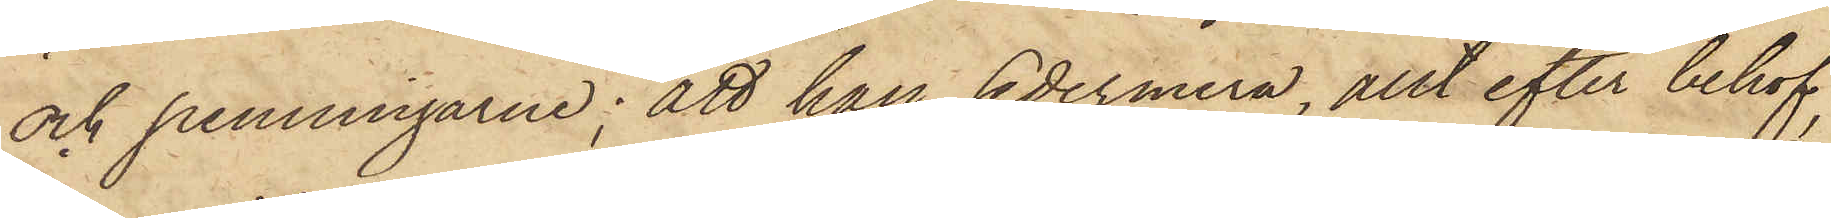och penningarne; att han sedermera, allt efter behof
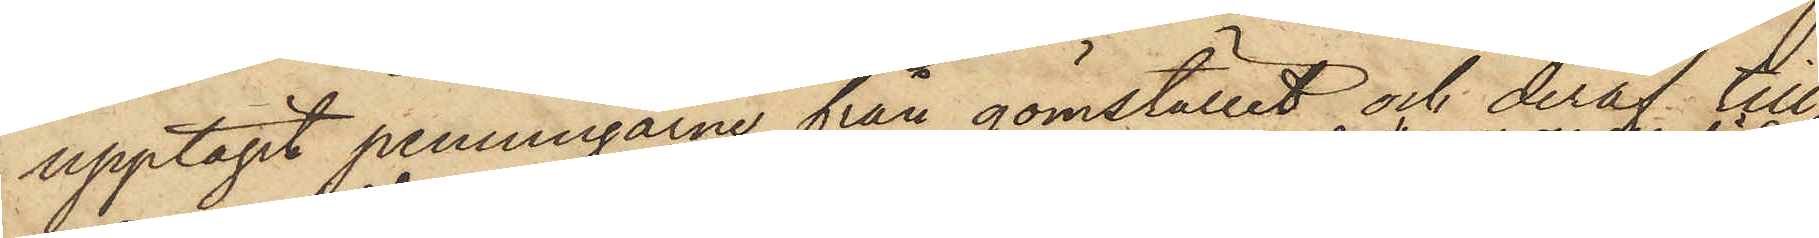upptagit penningarne från gömstället och deraf till¬
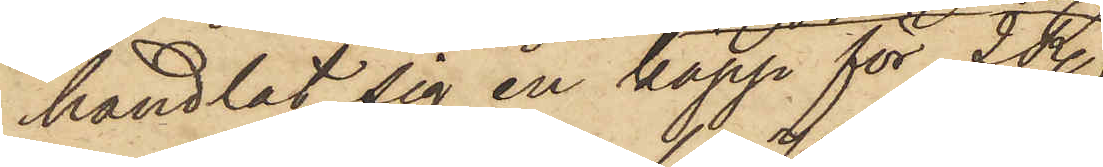handlat sig en käpp för 2 R.
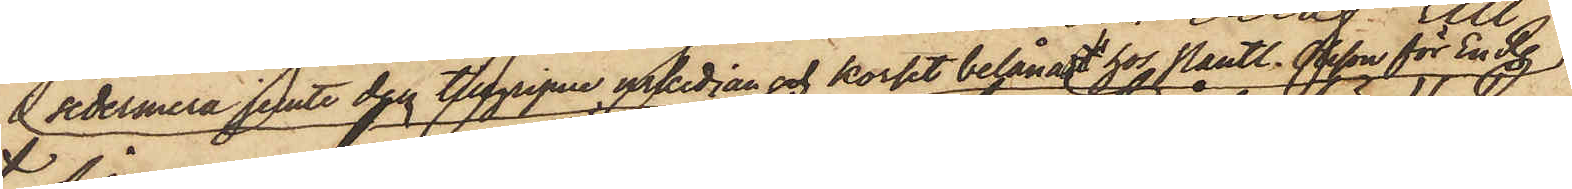sedermera jemte den tillgripne urkedjan och korset belånad hos Pantl. Olsson för En R.
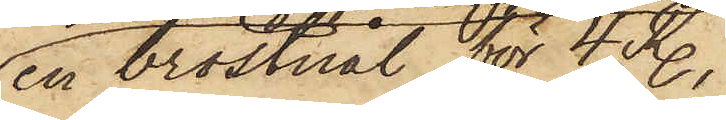en bröstnål för 4 R.,
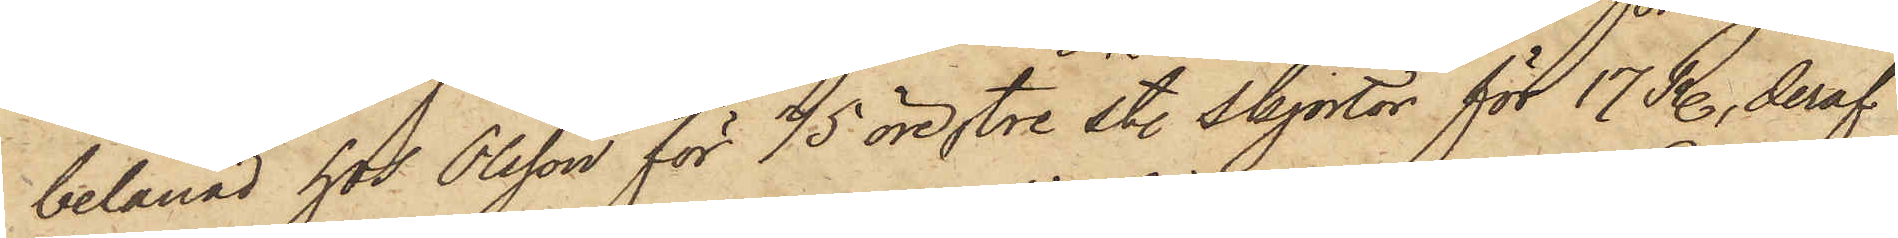belånad hos Olsson för 75 öre, tre st. skjortor för 17 R., deraf
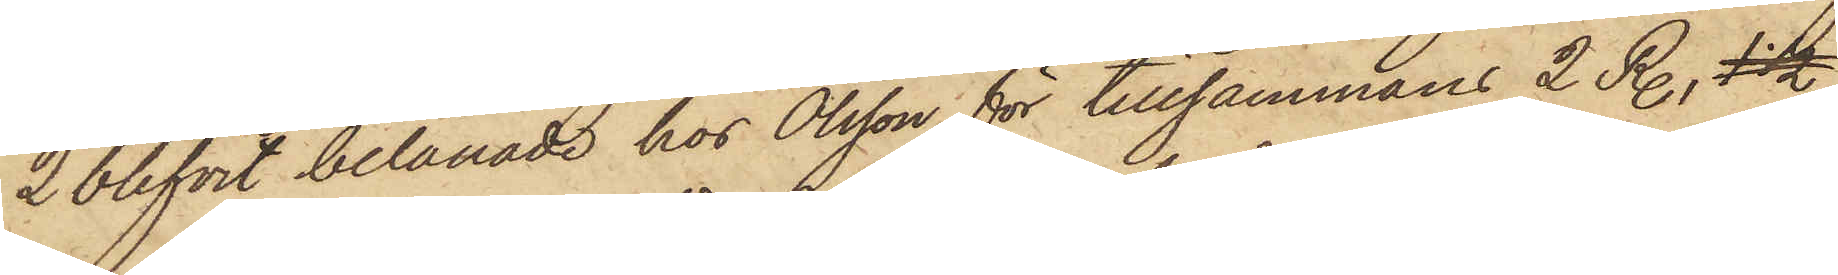2 blifvit belånade hos Olsson för tillsammans 2 R., 1 1/2
